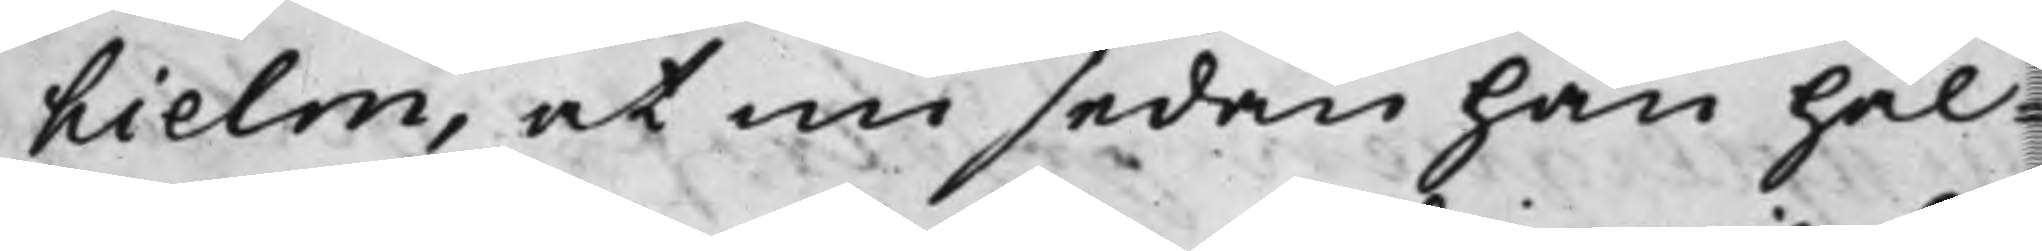hielm, at nu sedan han hål¬
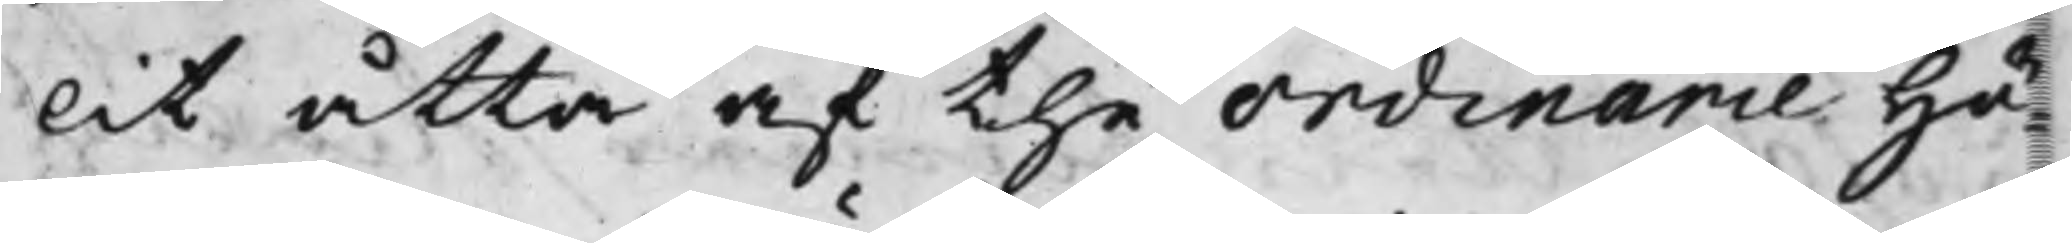lit åtta af the Ordinarie Hö¬
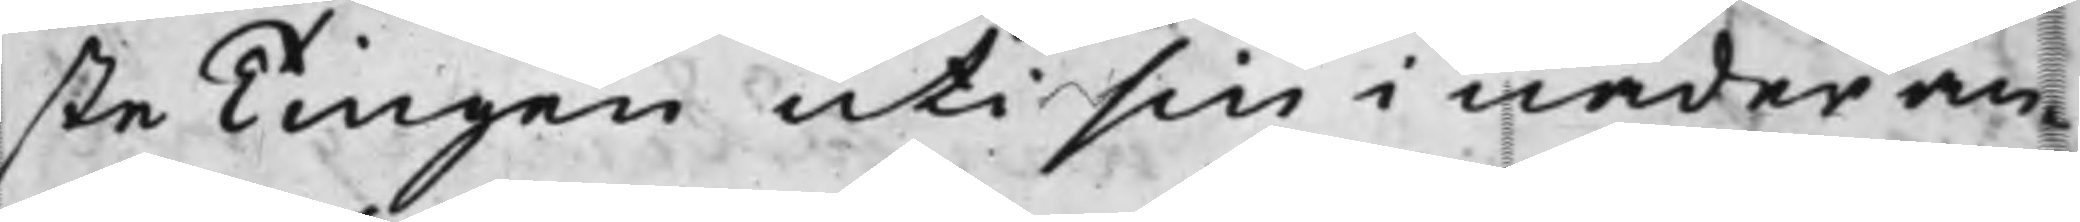ste Tingen uti sin i nåder an¬
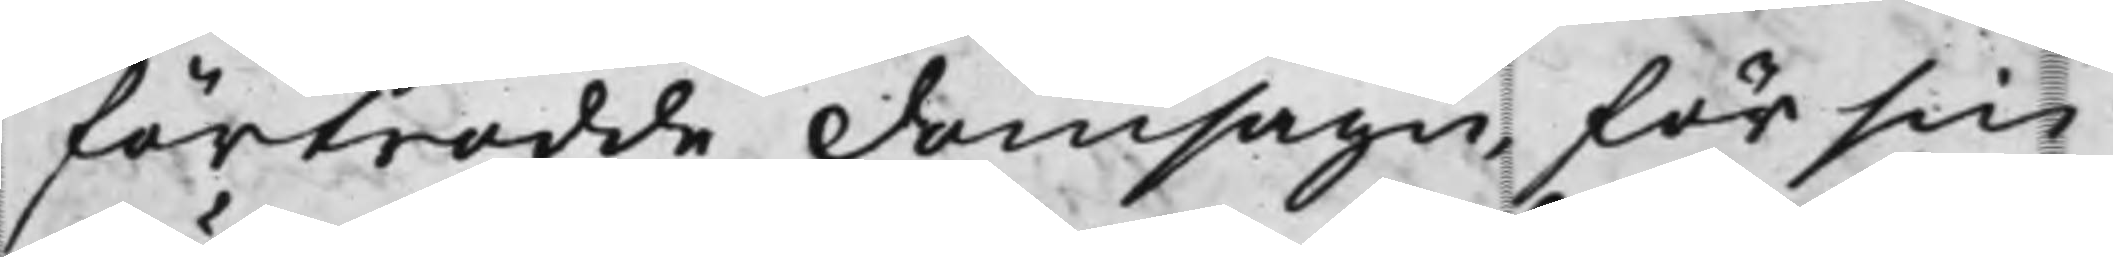förtrodde domsagu, för sin
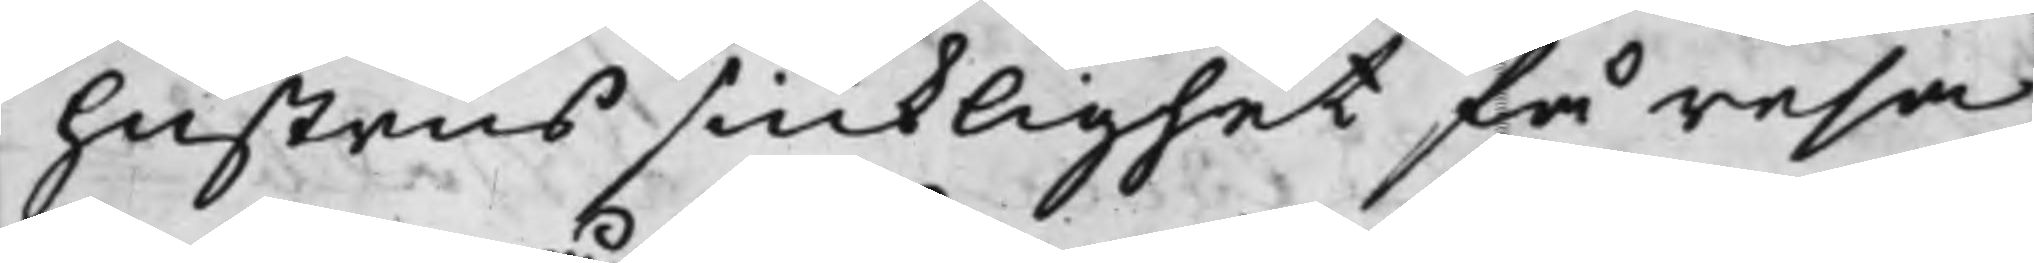hustrus siuklighet få resa
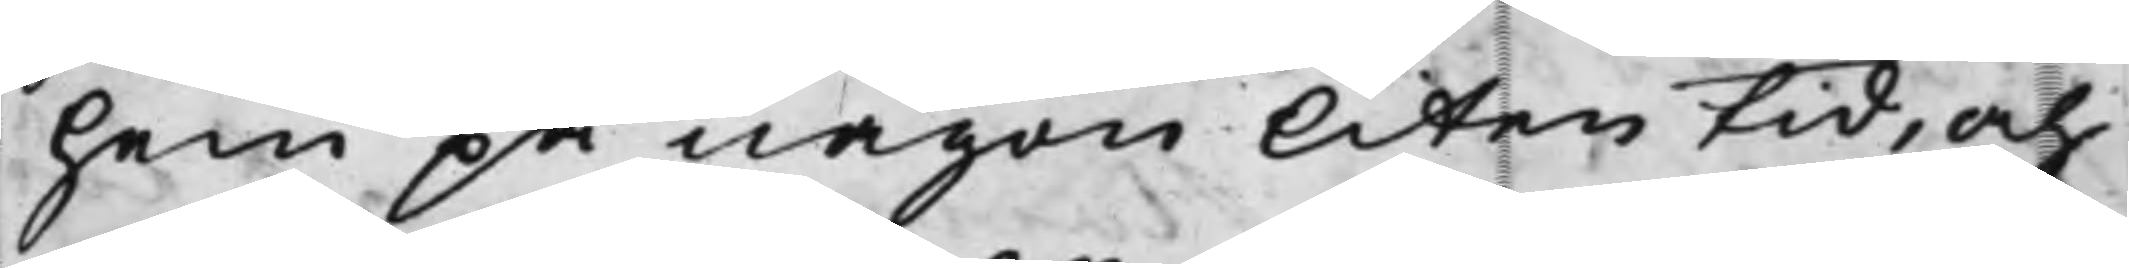hem på någon liten tid, och
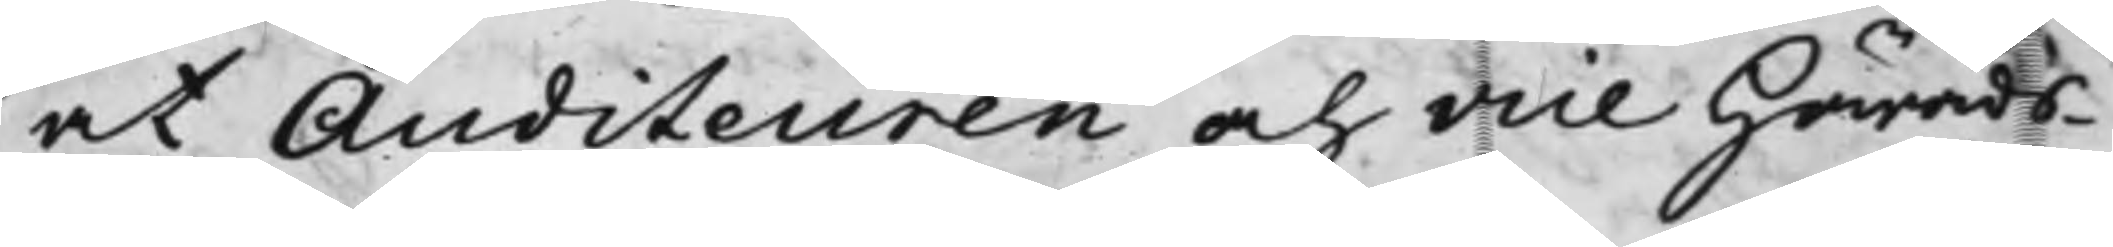at Auditeuren och vice Härads¬
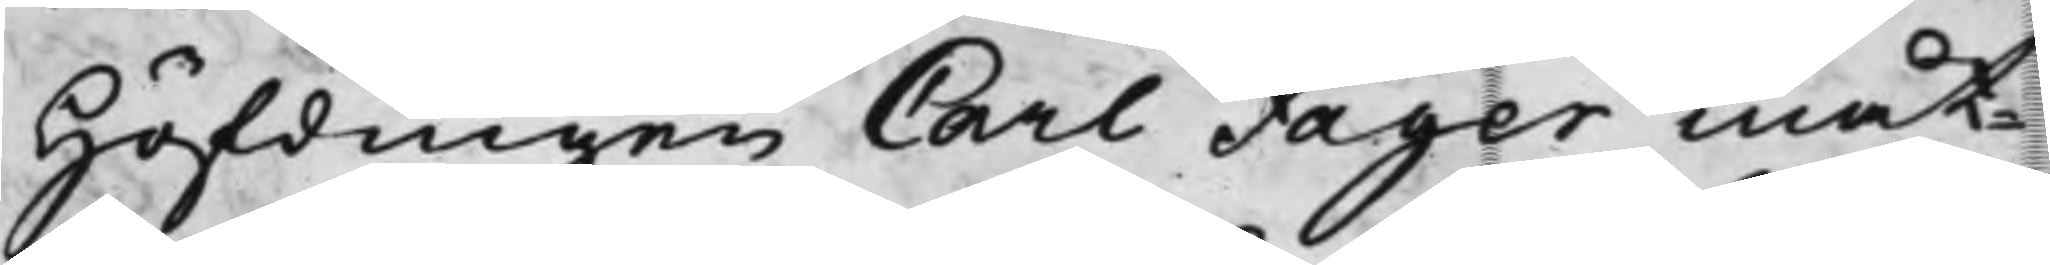Höfdingen Carl Fager måt¬
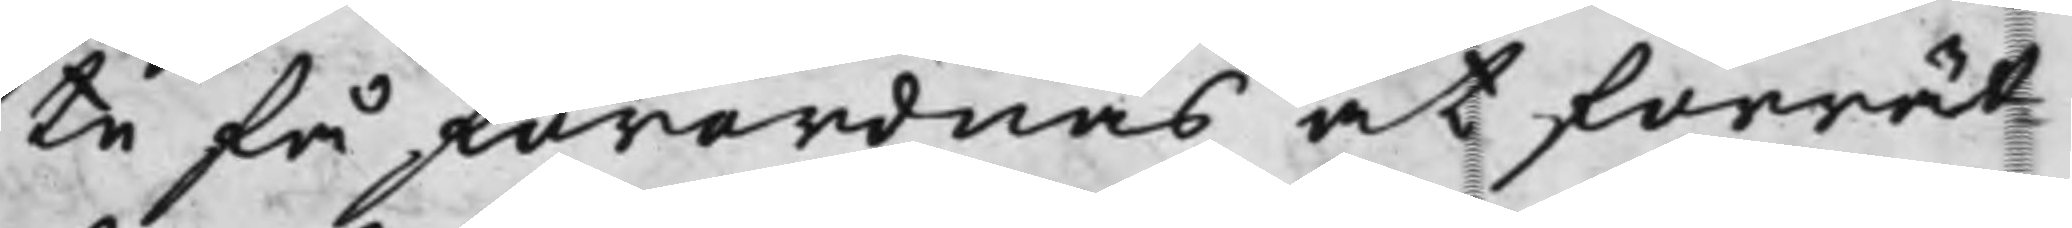ta få förordnas at förrät¬
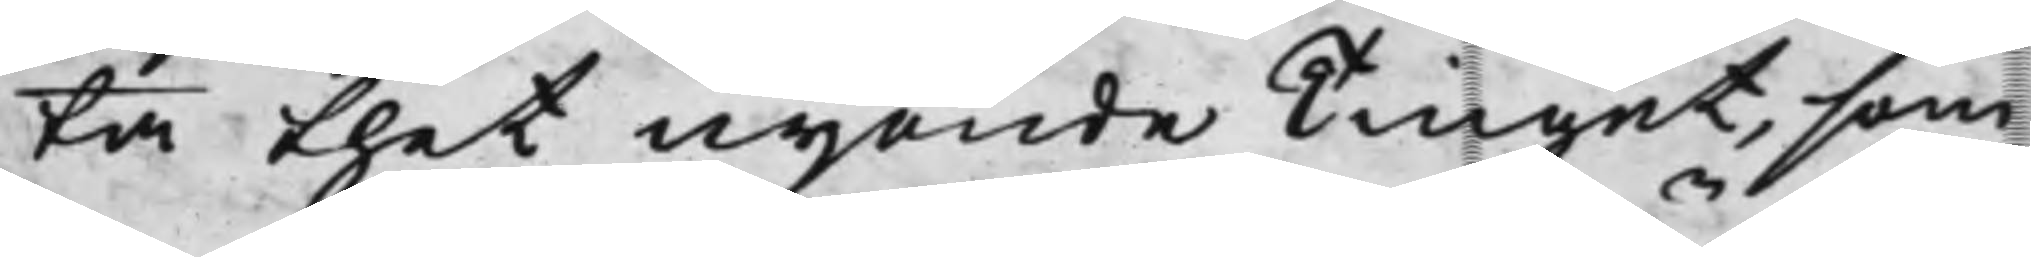ta thet nijonde Tinget, som
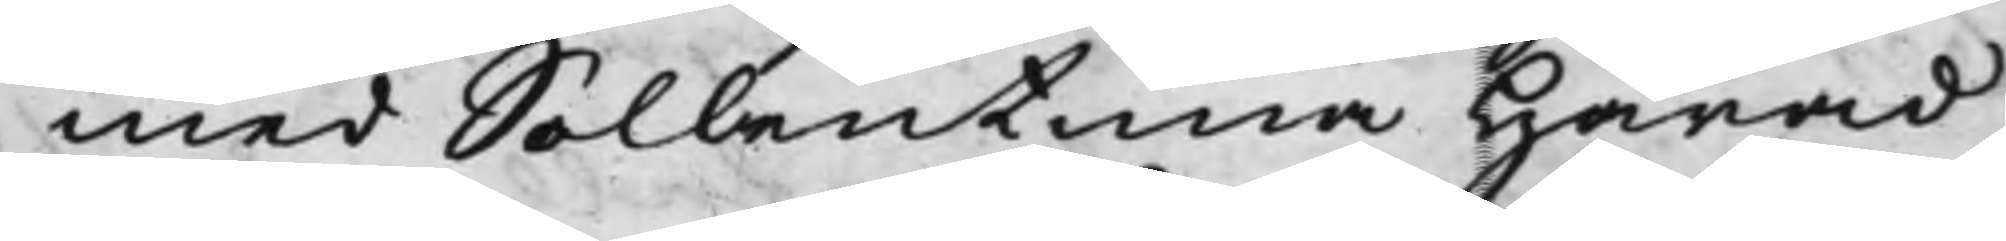med Sollentuna Härad
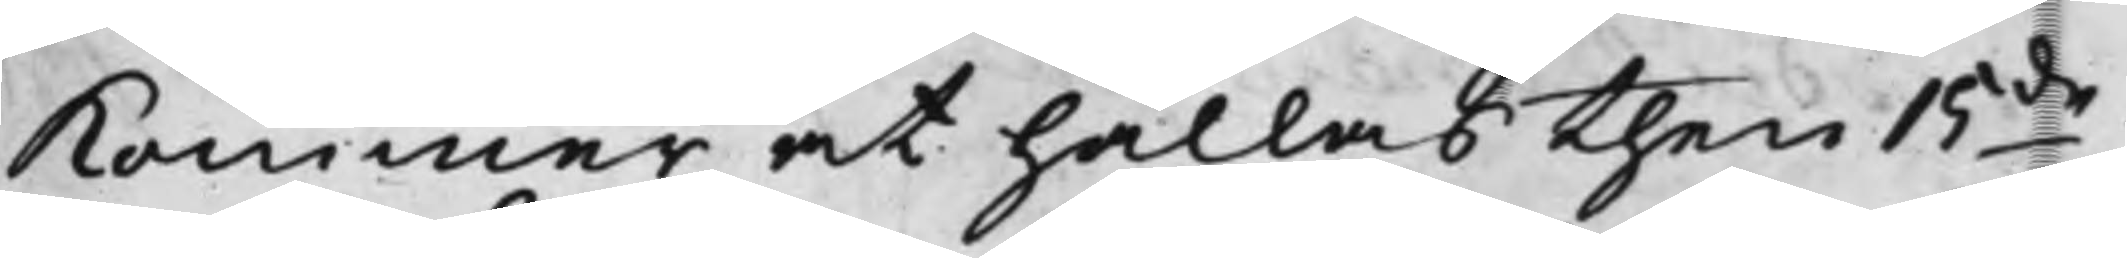Kommer at hållas then 15de
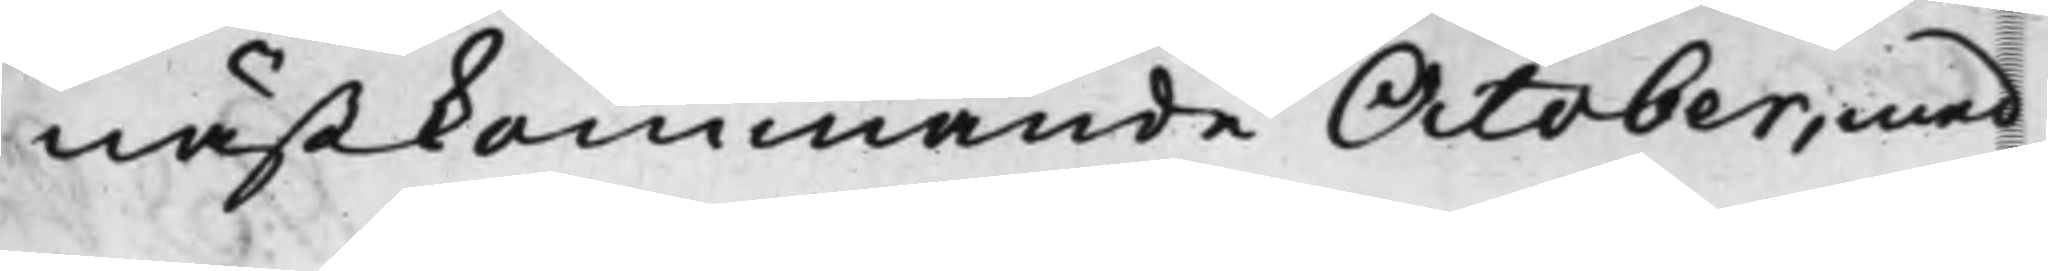nästkommande October, med
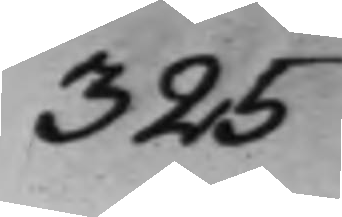325
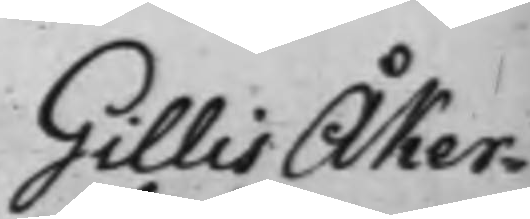Gillis Åker¬
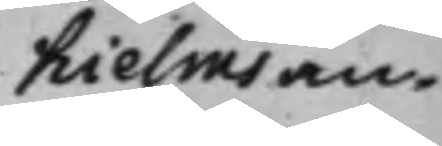hielms an¬
